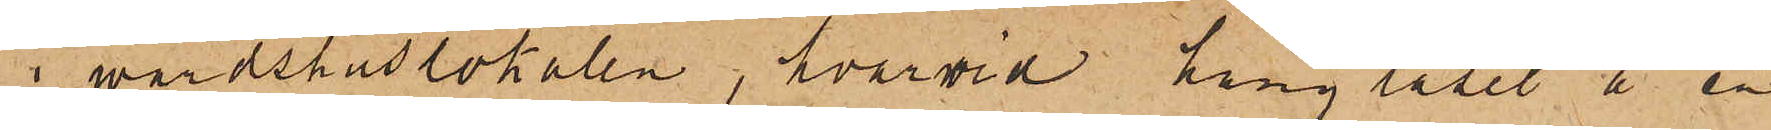i värdshuslokalen, hvarvid hänglåset å en
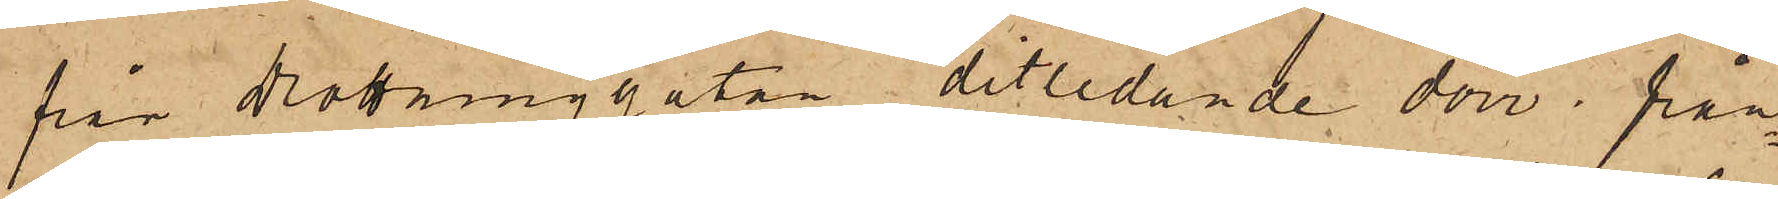från Drottninggatan ditledande dörr från¬
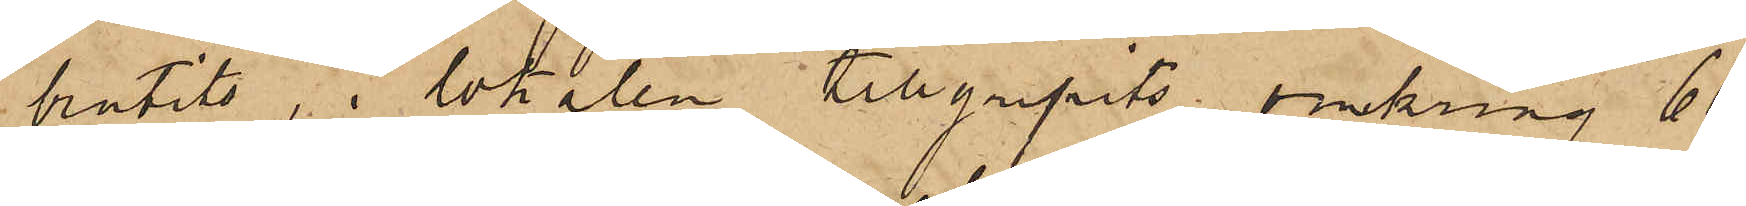brutits, i lokalen tillgripits omkring 60
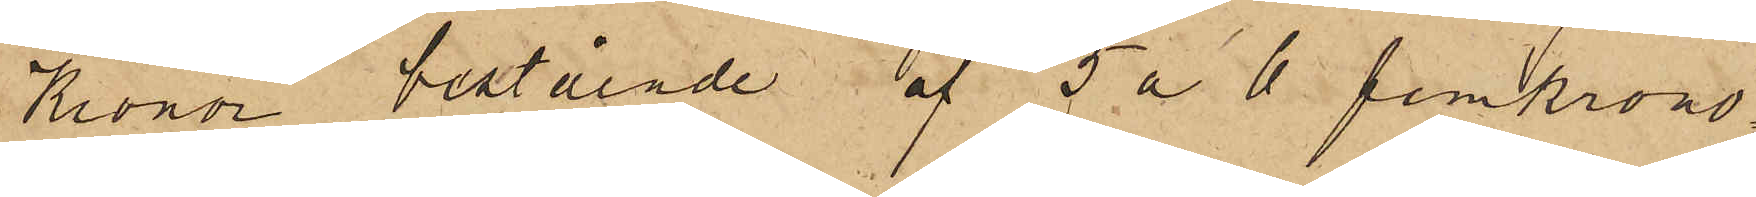Kronor bestående af 5 a 6 femkrono¬
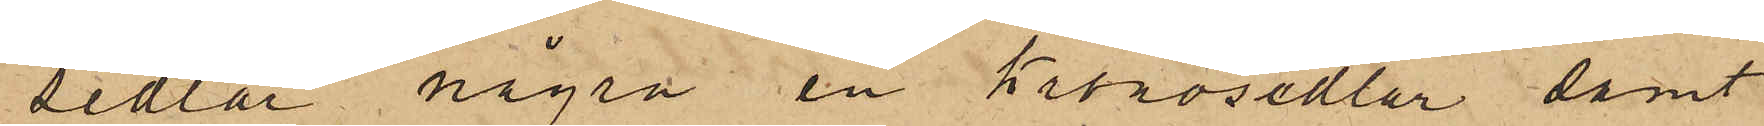sedlar några en Kronosedlar samt
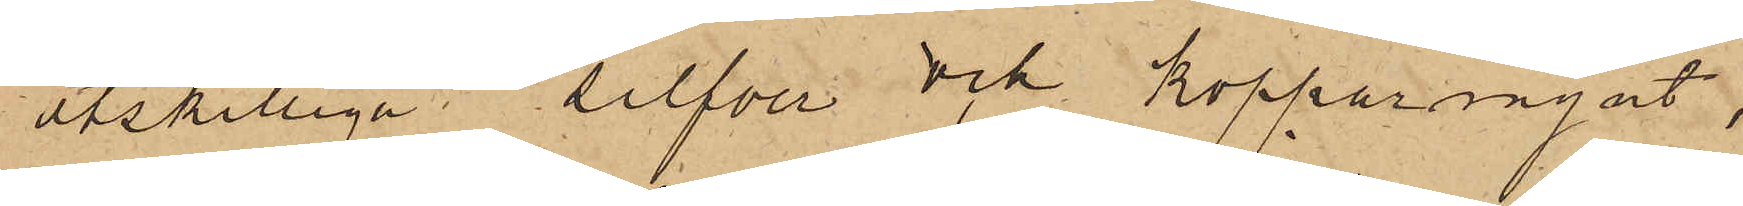åtskilliga silfver och kopparmynt,
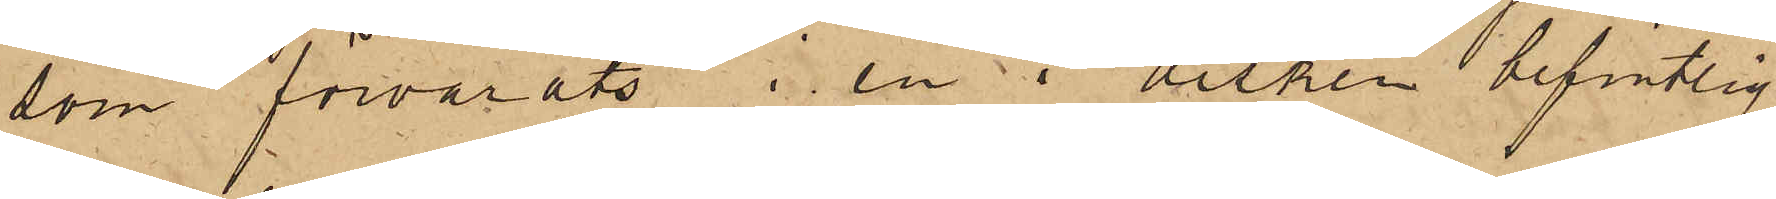som förvarats i en i disken befintlig
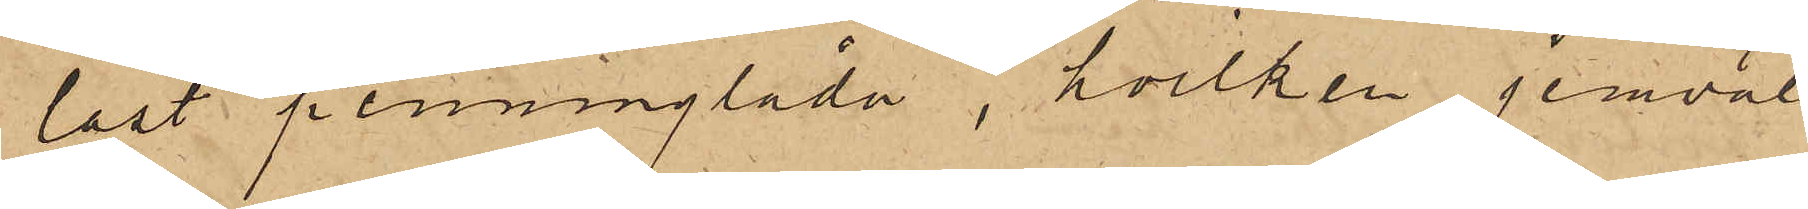låst penninglåda, hvilken jemväl
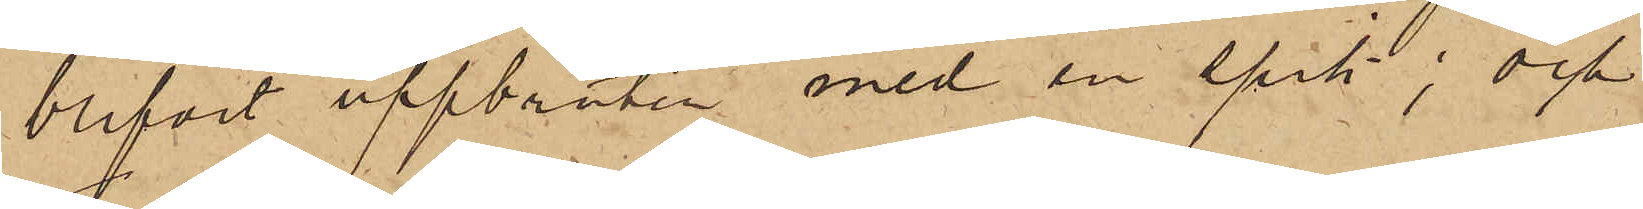blifvit uppbruten med en spik; och
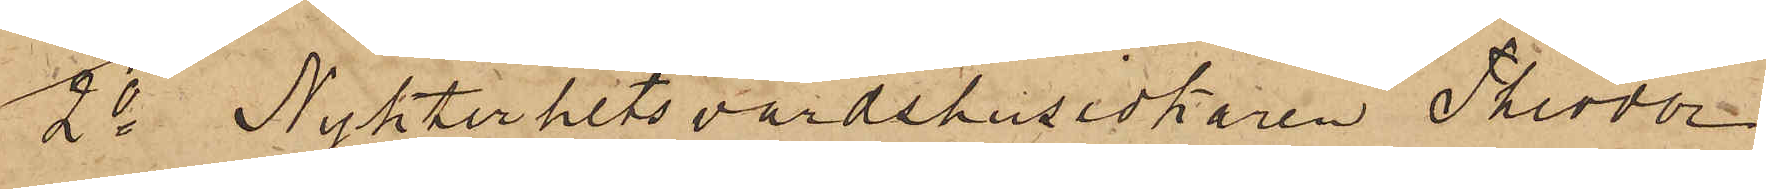2o Nykterhetsvärdshusidkaren Theodor
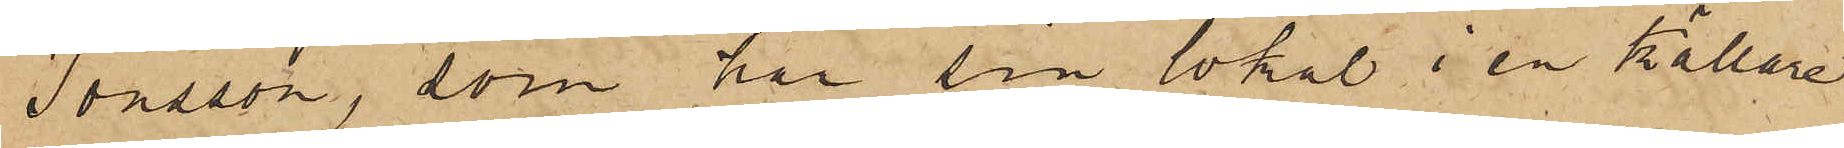Jonsson, som har sin lokal i en källare
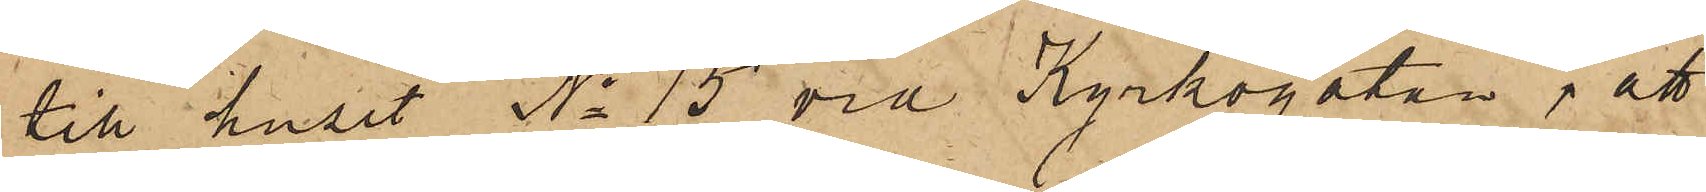till huset No 15 vid Kyrkogatan; att
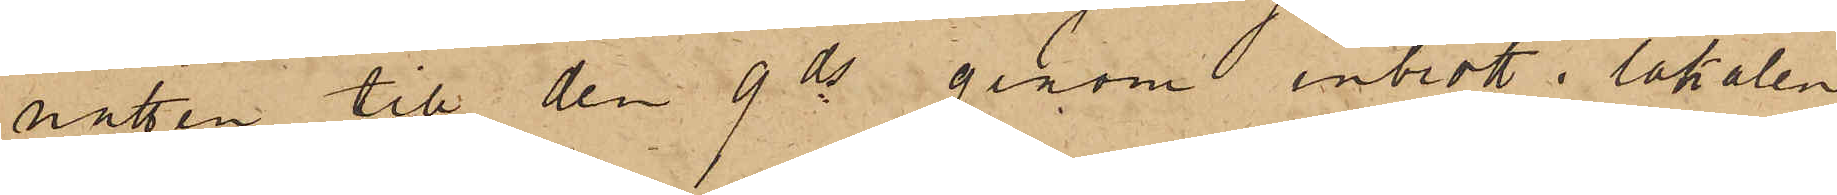natten till den 9 ds genom inbrott i lokalen
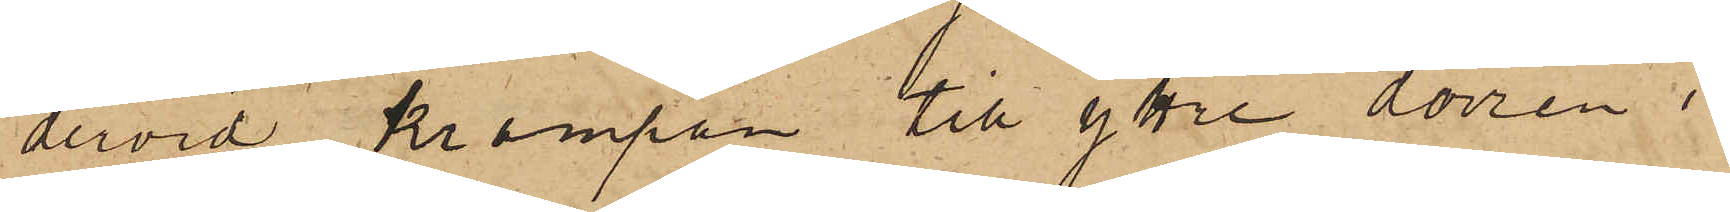dervid krampan till yttre dörren i
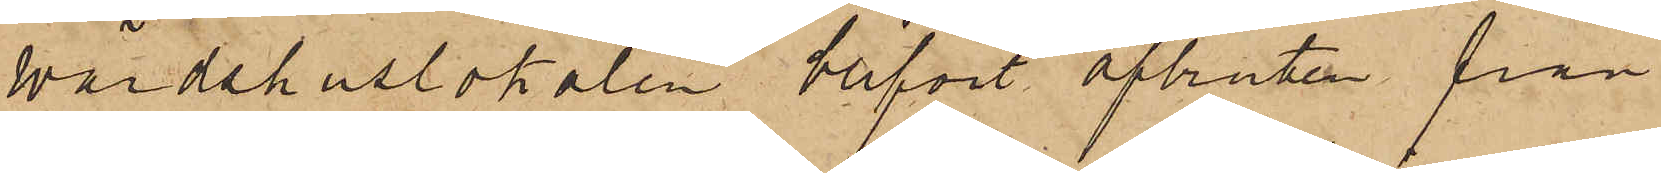värdshuslokalen blifvit afbruten från
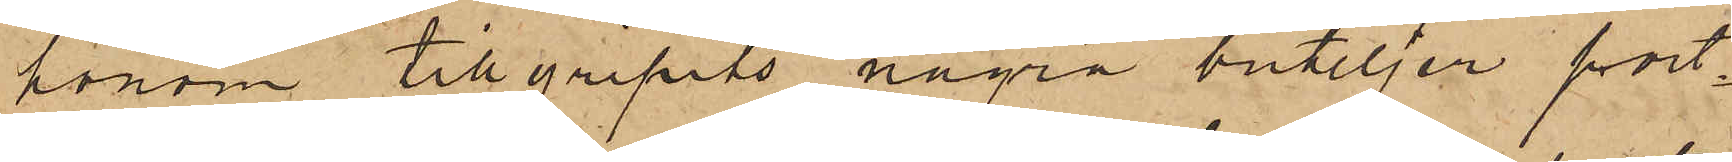honom tillgripits några buteljer port¬
